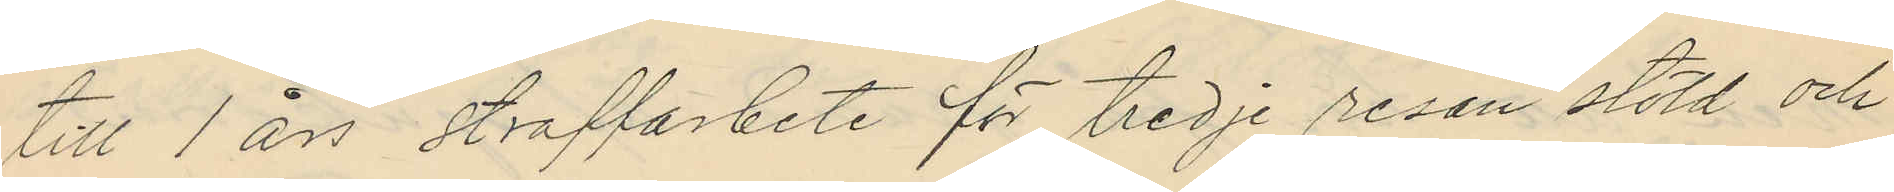till 1 års straffarbete för tredje resan stöld och
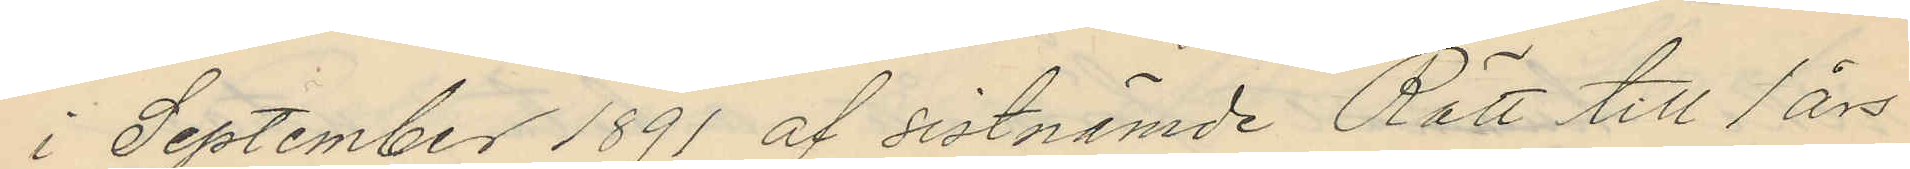i September 1891 af sistnämde Rätt till 1 års
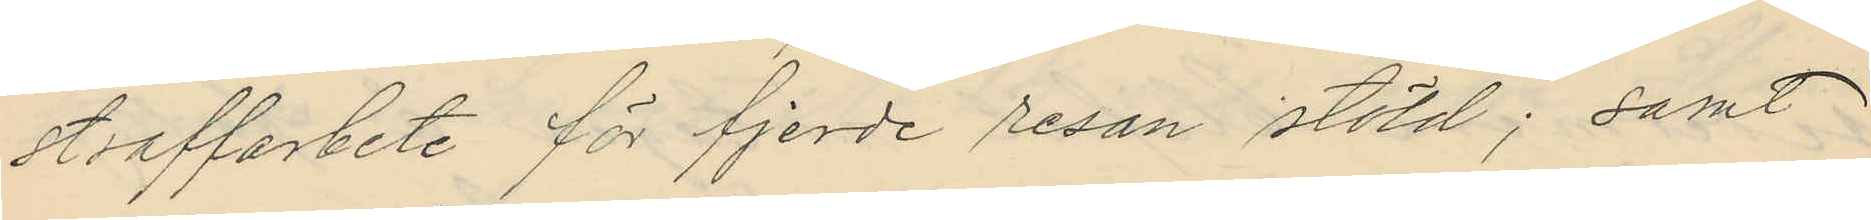straffarbete för fjerde resan stöld; samt
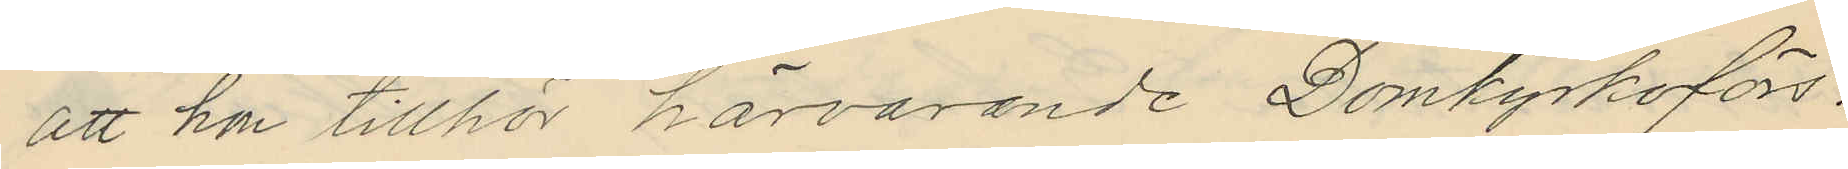att hon tillhör härvarande Domkyrkoförs.
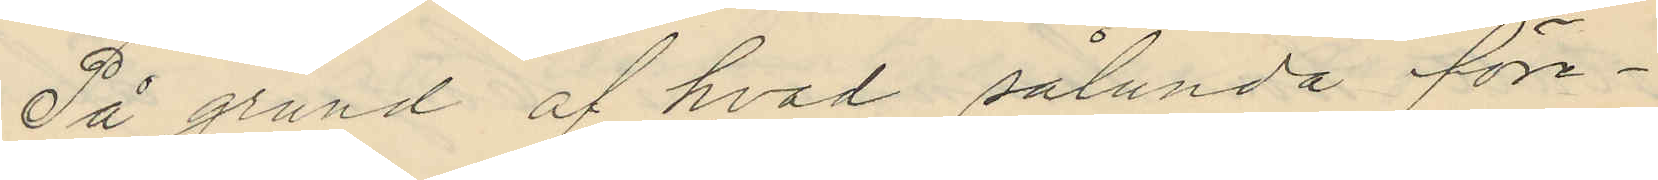På grund af hvad sålunda före¬
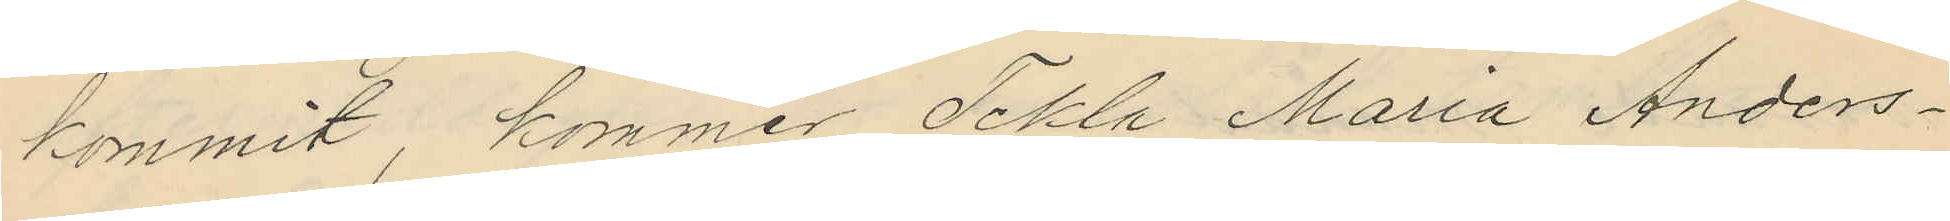kommit, kommer Tekla Maria Anders¬
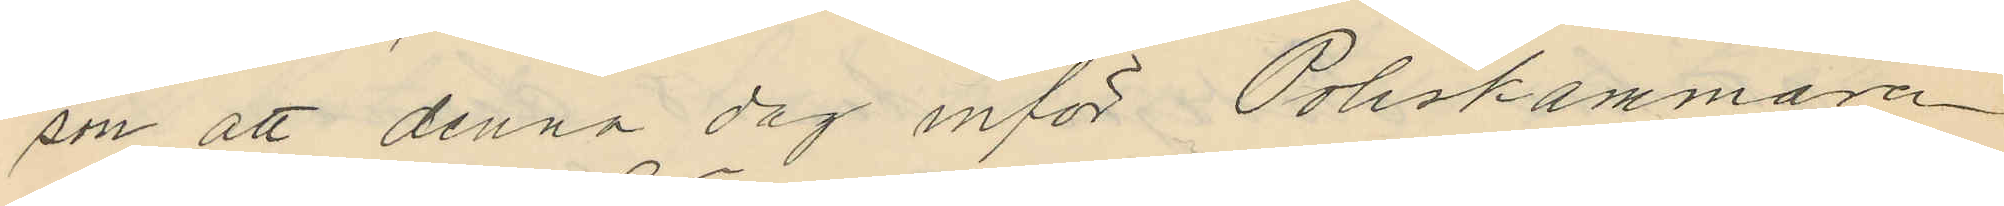son att denna dag inför Poliskammaren
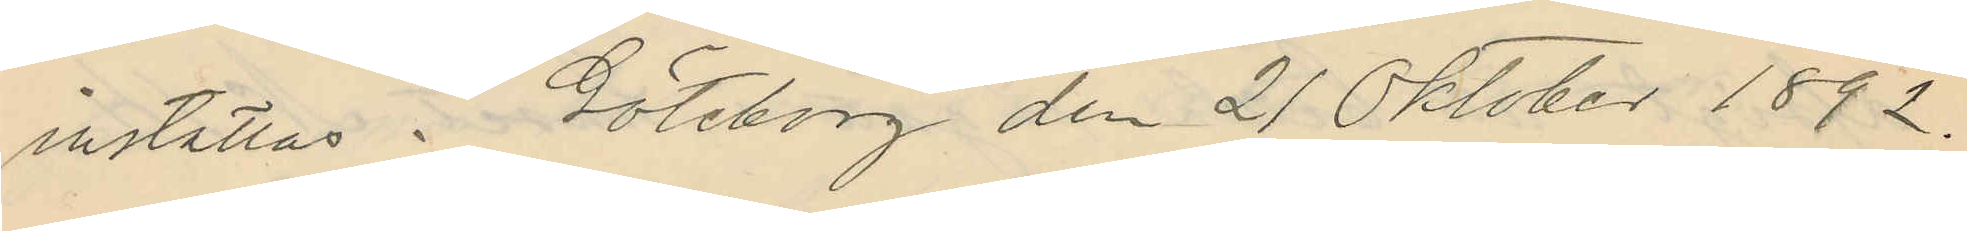inställas. Göteborg den 21 Oktober 1892.
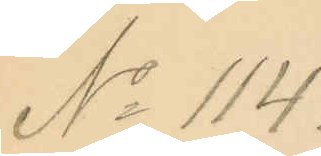No 114.
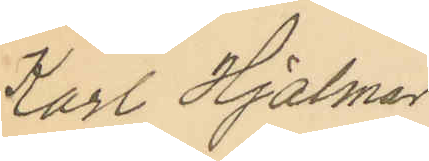Karl Hjalmar
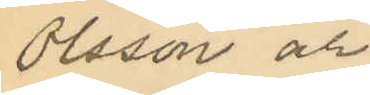Olsson och
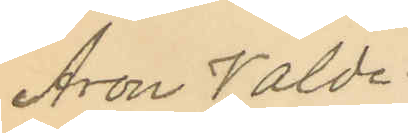Aron Walde¬
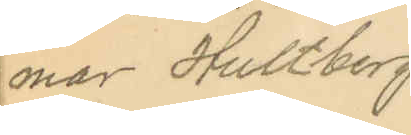mar Hultberg
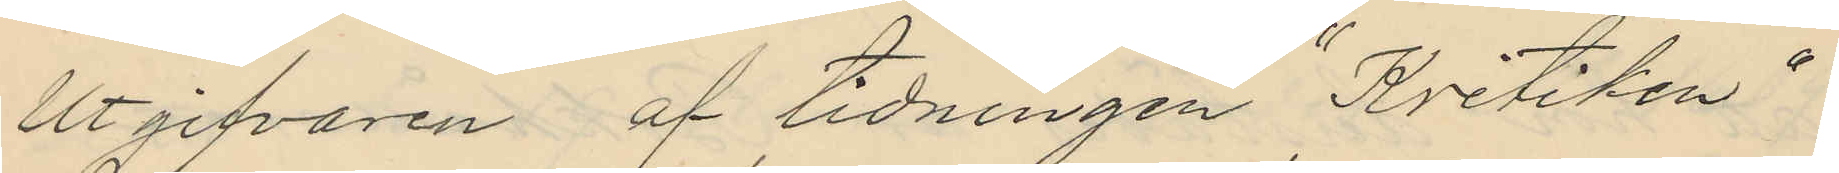Utgifvaren af tidningen "Kritiken"
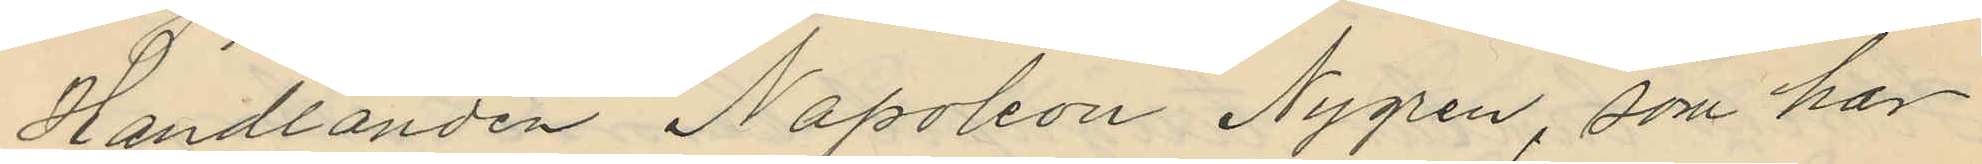Handlanden Napoleon Nygren, som har
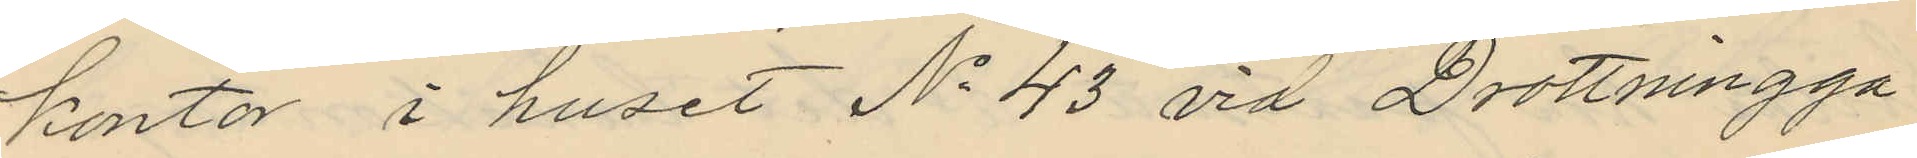kontor i huset No 43 vid Drottningga¬
